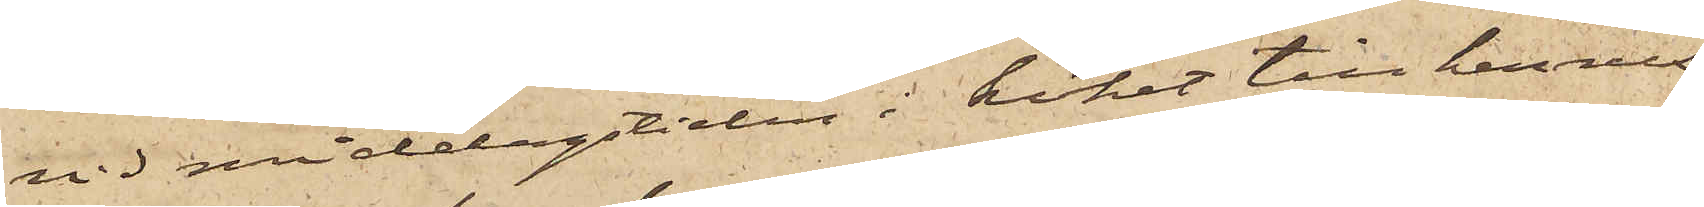vid middagstiden i köket till hennes
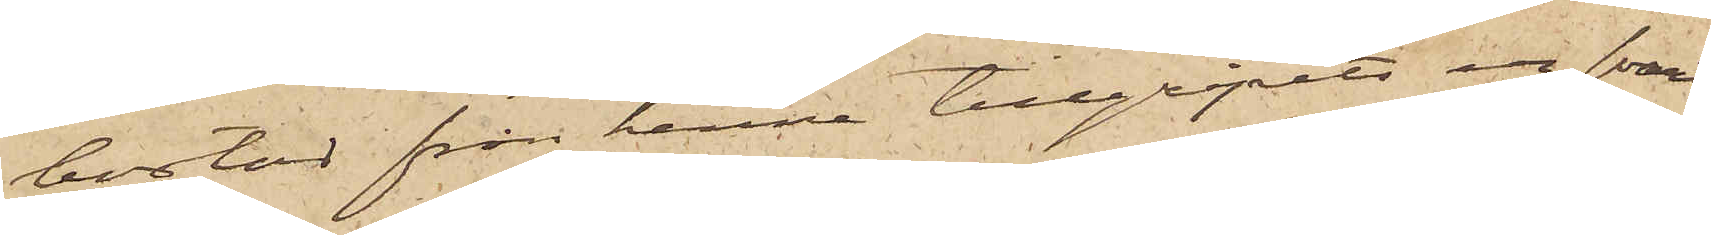bostad från henne tillgripits en svart
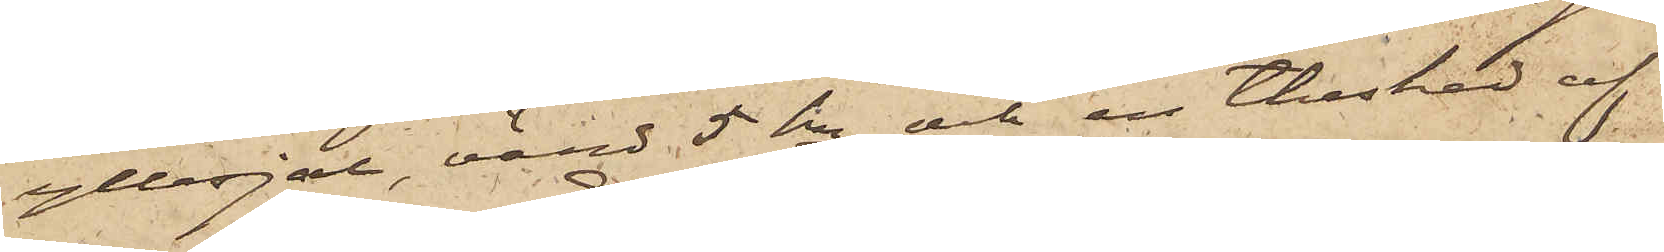yllesjal, värd 5 kr och en thesked af
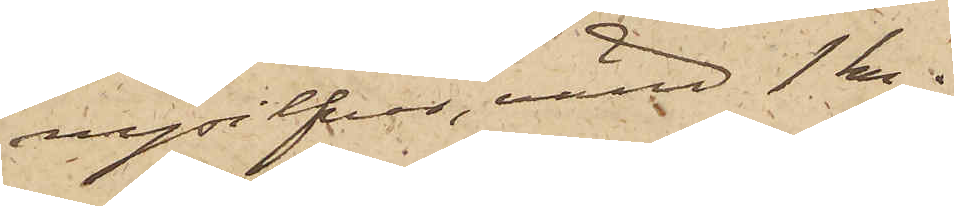nysilfver, värd 1 kr.
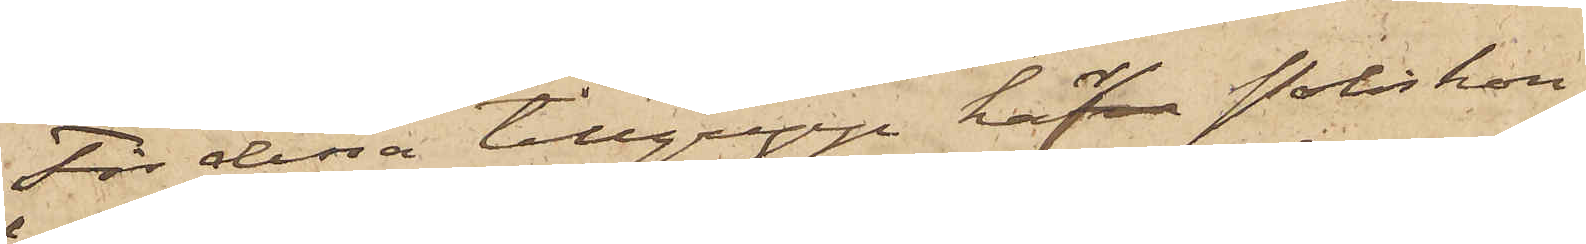För dessa tillgrepp hafva Poliskon¬
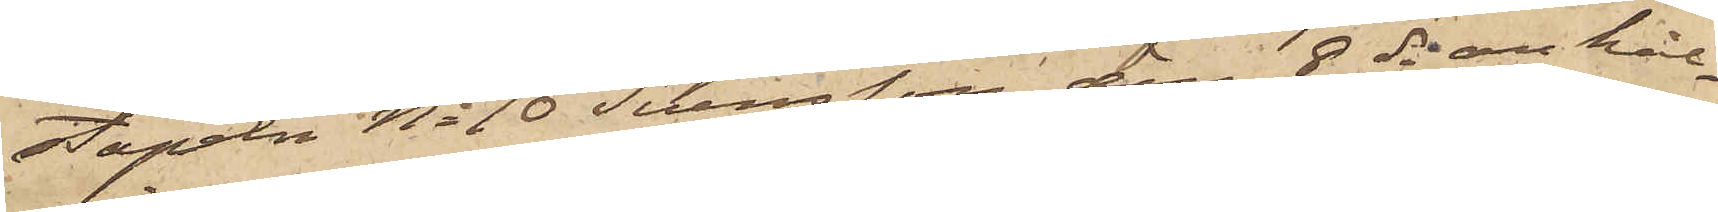stapeln No 10 Svensson den 8 ds anhål¬
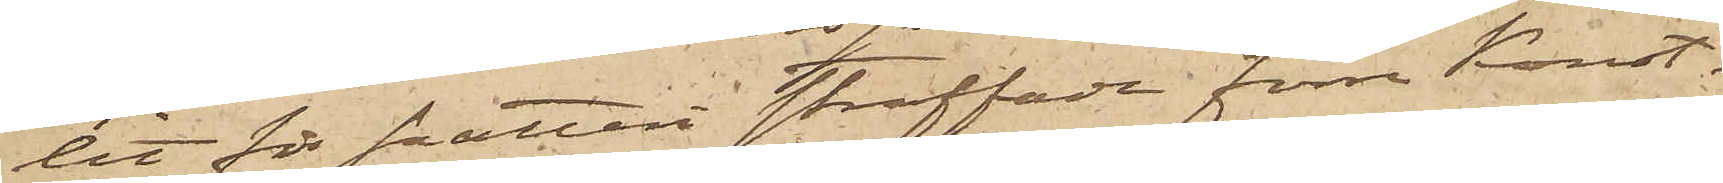let för snatteri straffade förre Konst¬
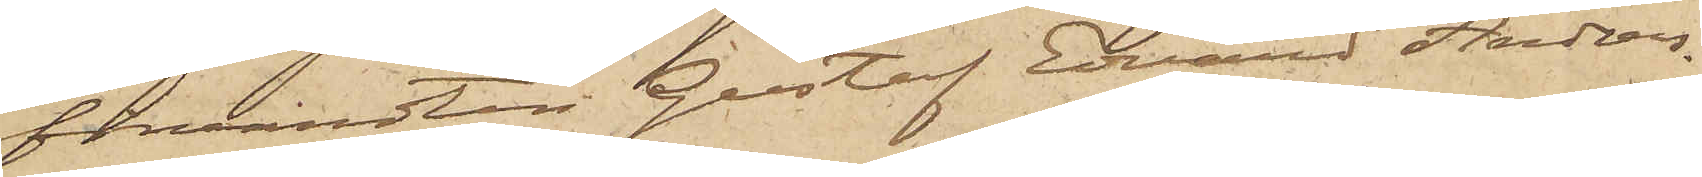förvandten Gustaf Edvard Anders¬
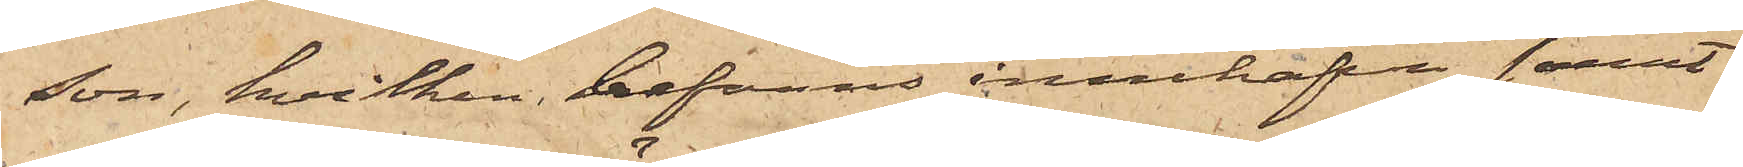son, hvilken befanns innehafva samt¬
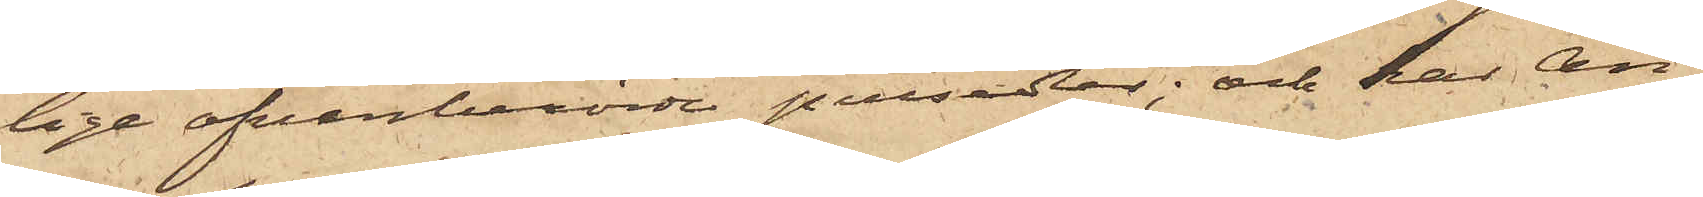lige ofvanberörde persedlar; och har An¬
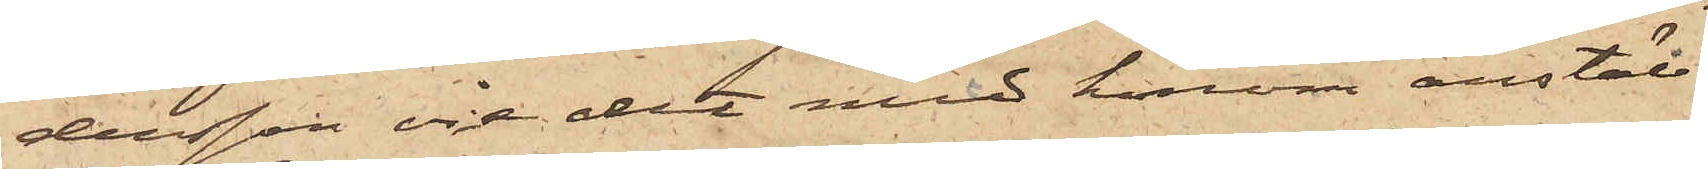dersson vid det med honom anställ¬
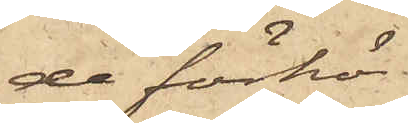de förhör
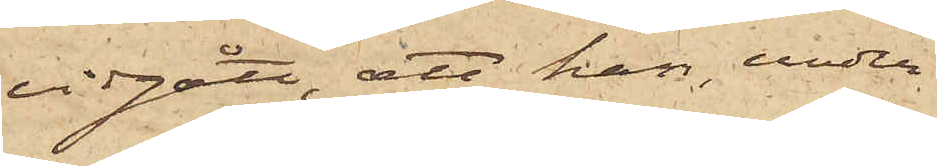vidgått, att han, under
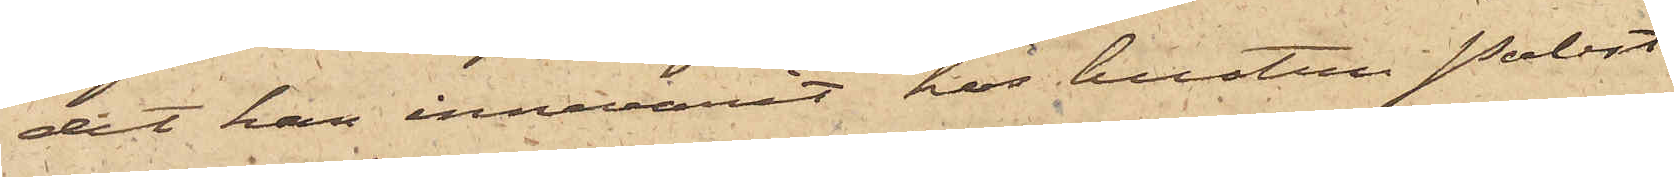det han innevarit hos hustru Probst
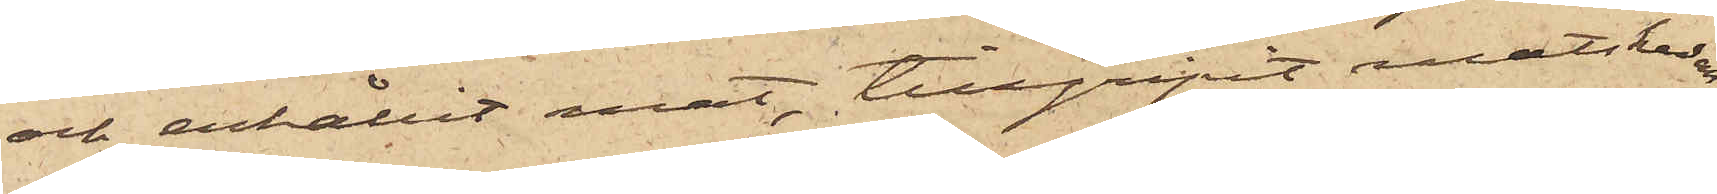och erhållit mat, tillgripit matskeden;
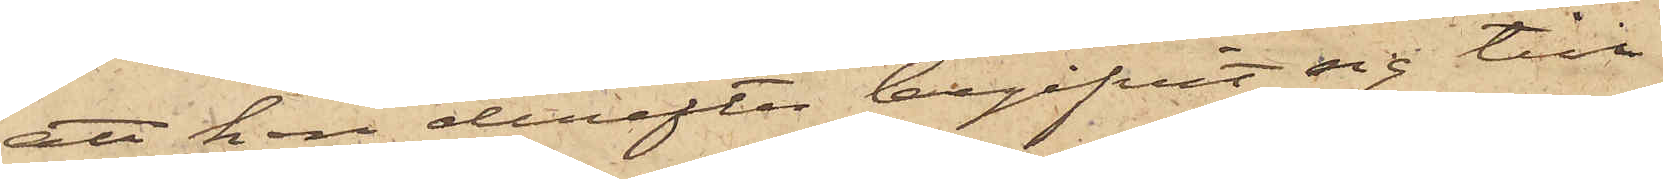att han derefter begifvit sig till
